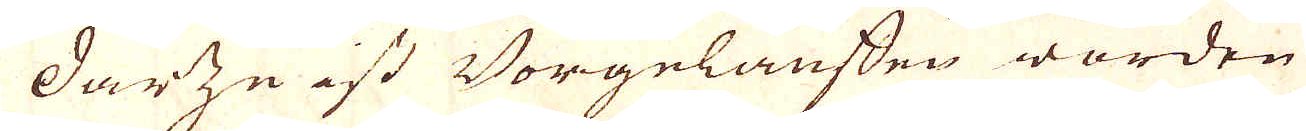darze ast Börgelansfen worden
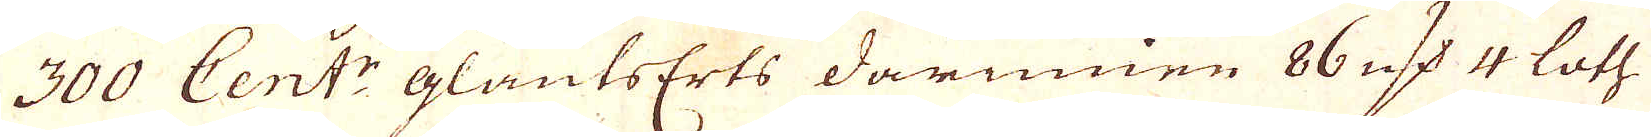300 Cent:r glantserts darinnen 86 qv:r 4 loth
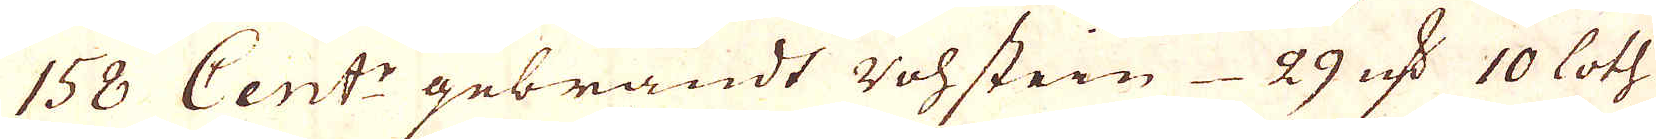158 Cent:r gebrandt rohstein 29 qv:r 10 loth
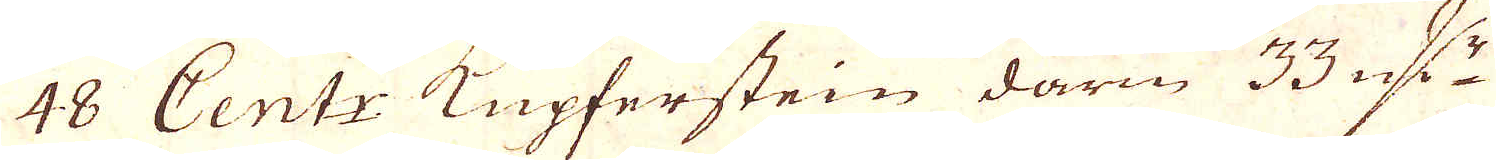48 Cent:r Kupferstein darin 33 qv:r
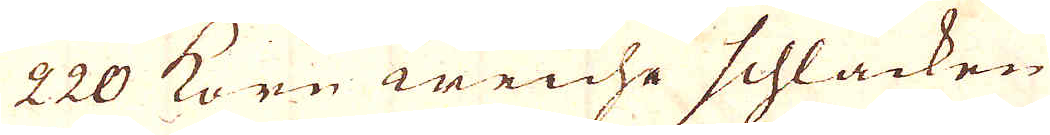220 Korn weiche schlacken
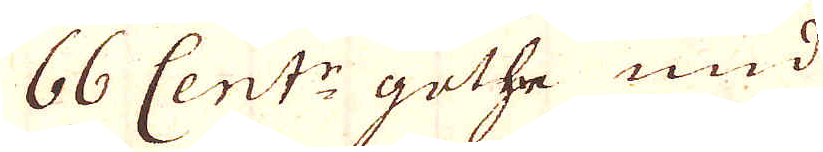66 Cent:r guthe und
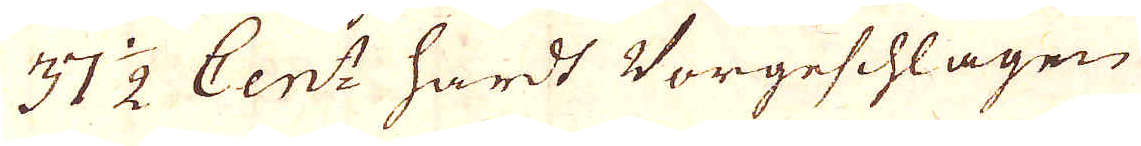37 1/2 Cent: hardt Vorgeschlagen
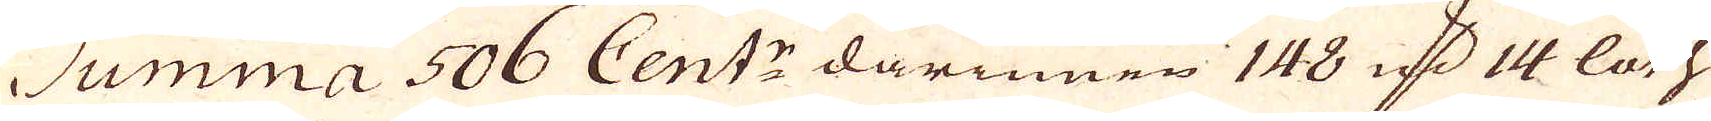Summa 506 Cent:r darinnen 148 qv:r 14 loth
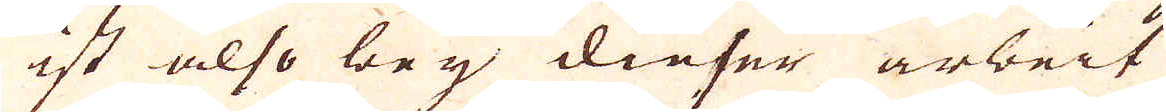ist also bey dieser arbeit
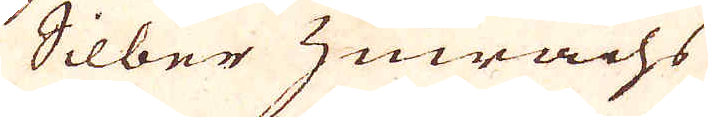Silber zuwachs
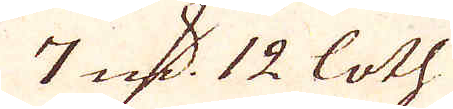7 qv:r 12 loth.
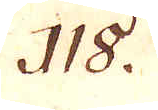118.
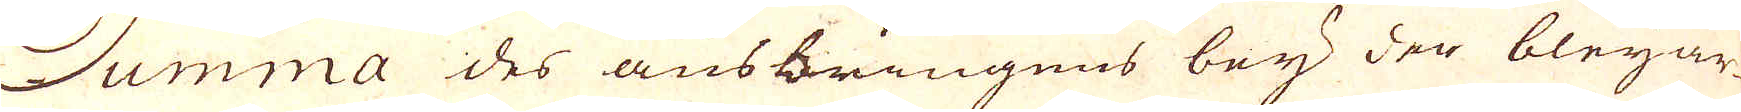Summa des ausbringens bey der bleijar-
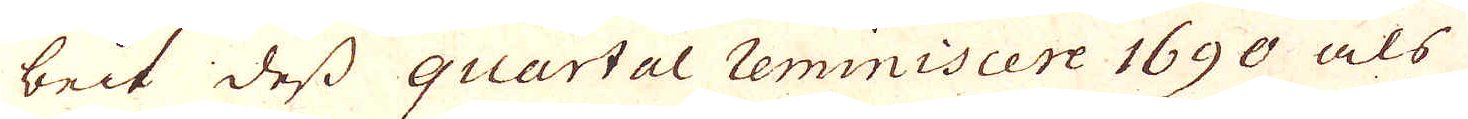beit dess quartal reminiscere 1690 als
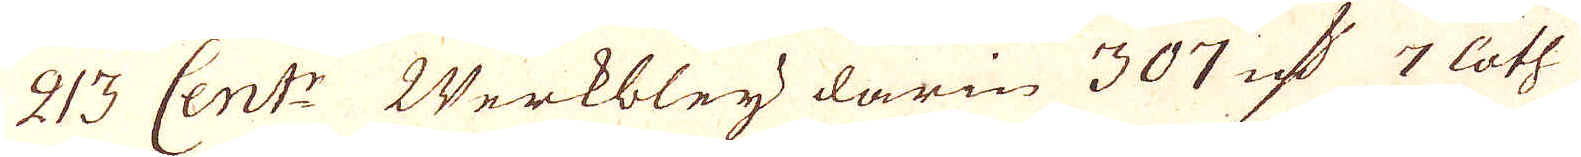213 Cent:r Werkbleij darin 307 qv:r 7 loth
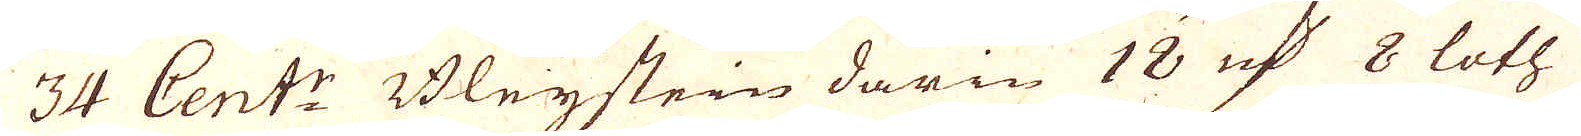34 Cent:r Bleijstein darin 18 qv:r 8 loth
